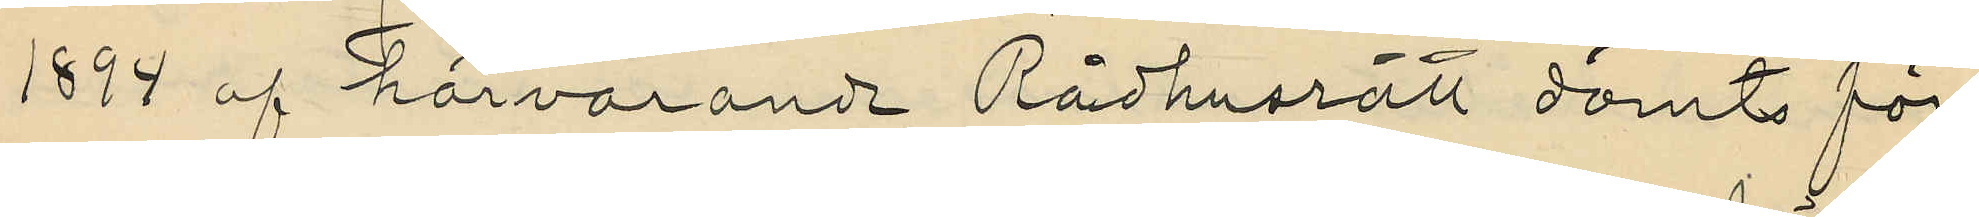1894 af härvarande Rådhusrätt dömts för
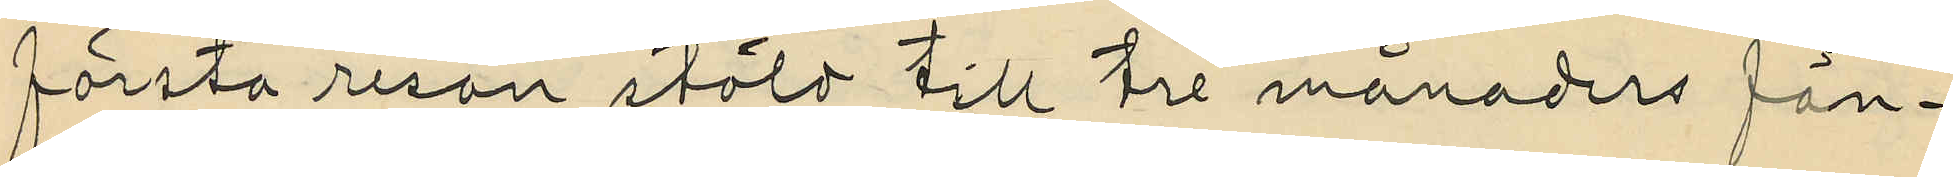första resan stöld till tre månaders fän¬
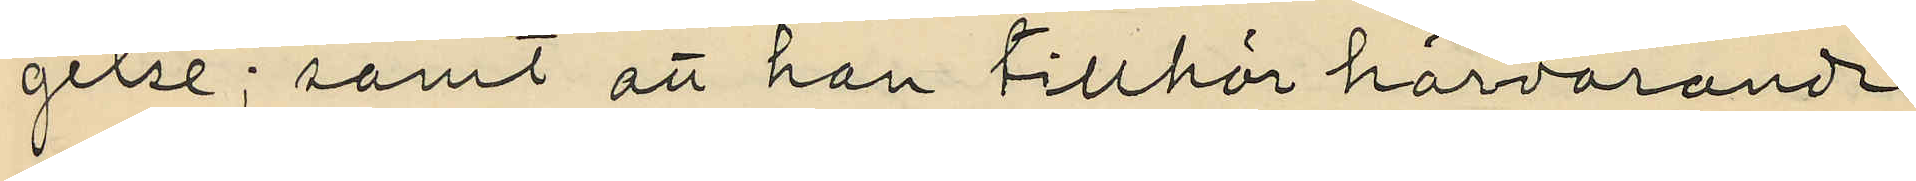gelse; samt att han tillhör härvarande
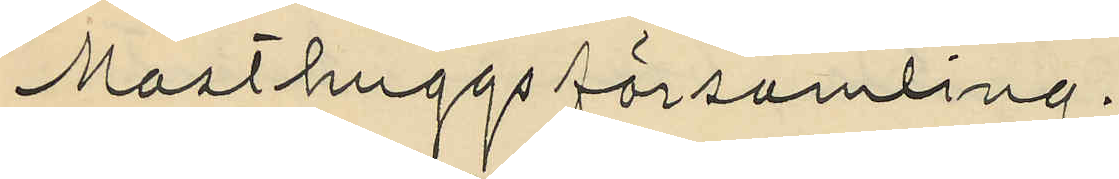Masthuggs församling.
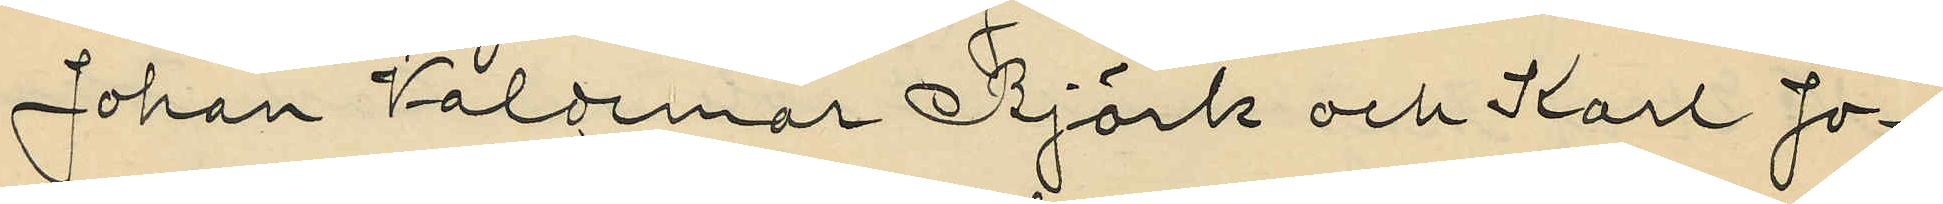Johan Valdemar Björk och Karl Jo¬
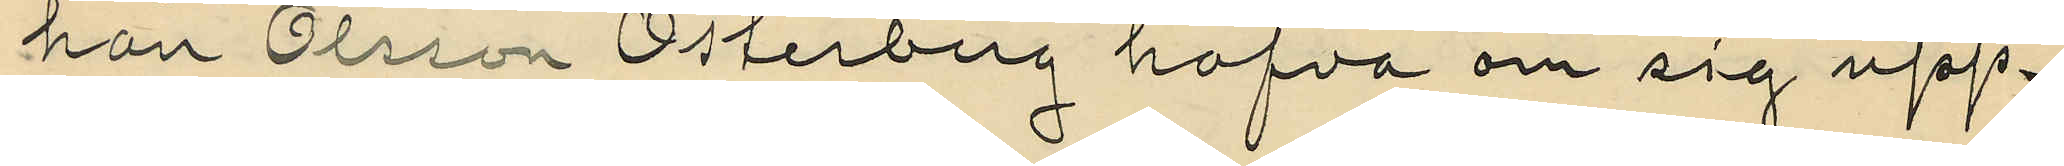han Olsson Österberg hafva om sig upp¬
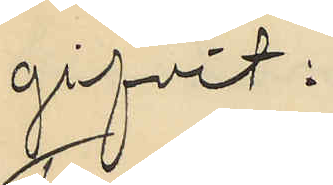gifvit:
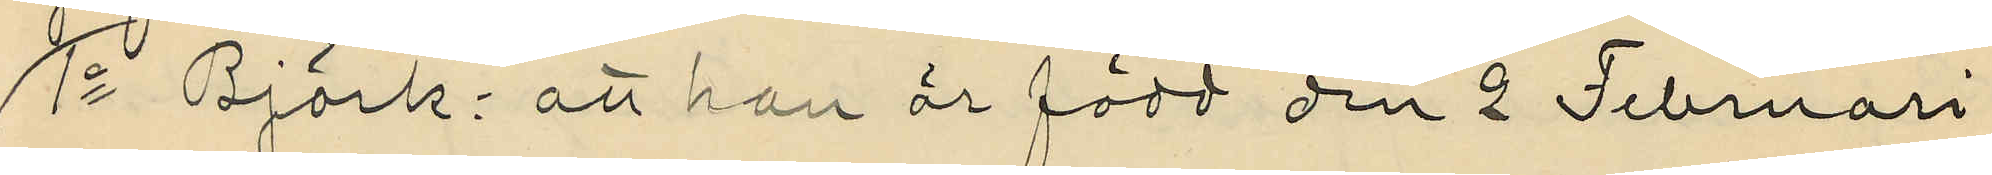1o Björk: att han är född den 2 Februari
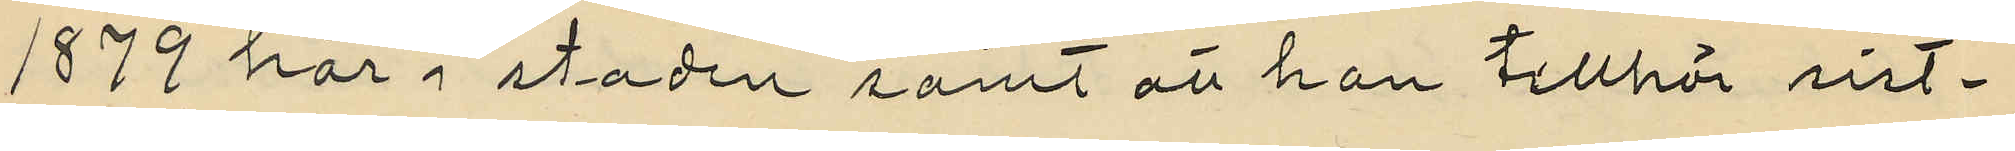1879 här i staden samt att han tillhör sist¬
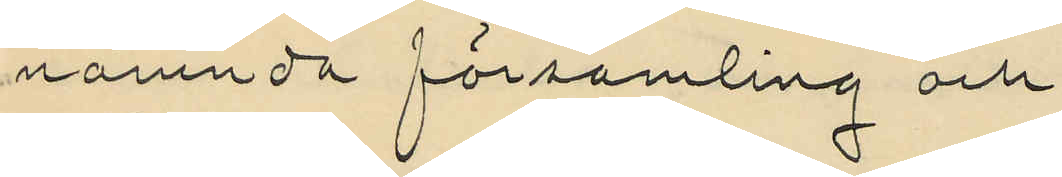nämnda församling och
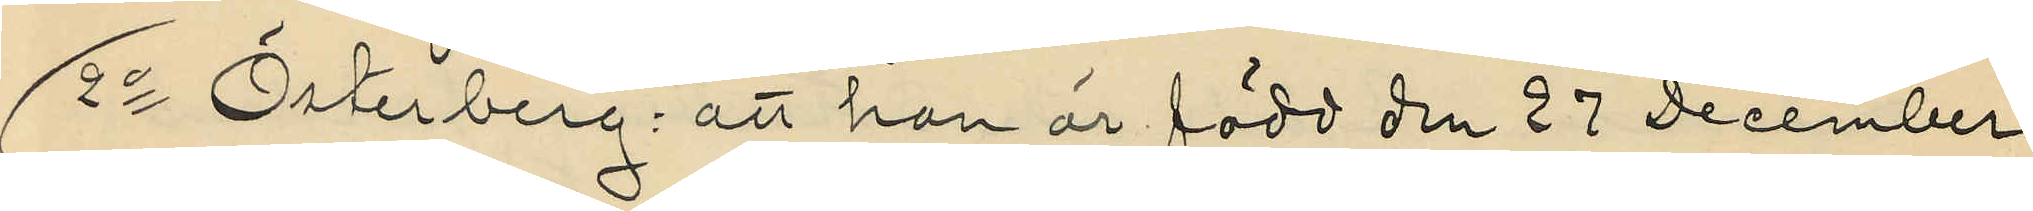2o  Österberg: att han är född den 27 December
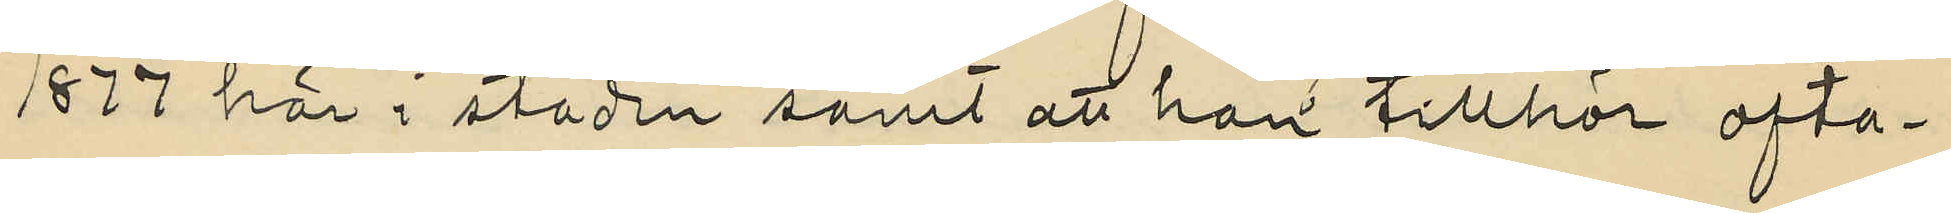1877 här i staden samt att han tillhör ofva¬
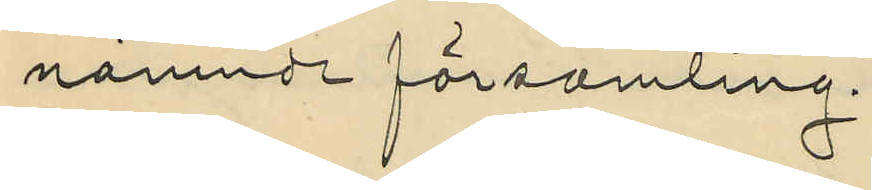nämnda församling
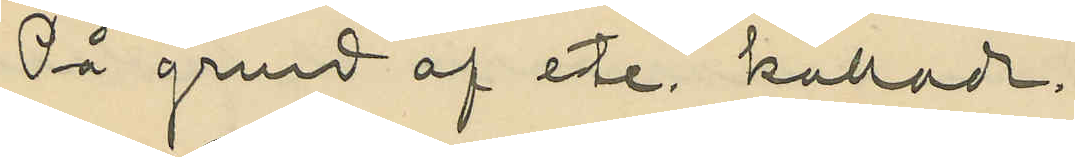På grund af etc. kallade.
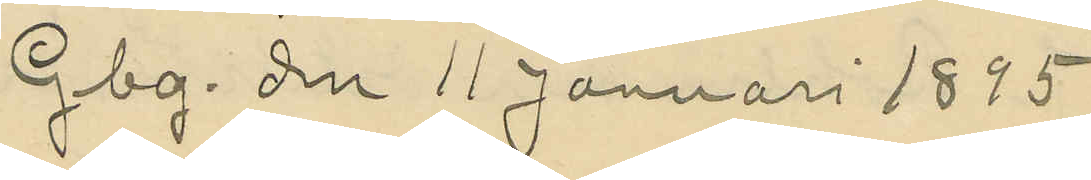Gbg. den 11 Januari 1895.
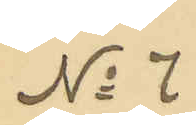No 7
